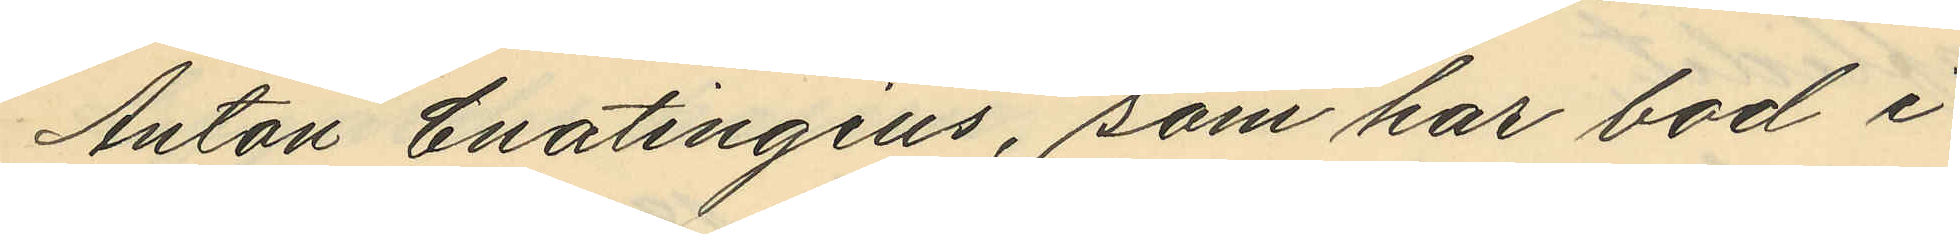Anton Enatingius, som har bod i
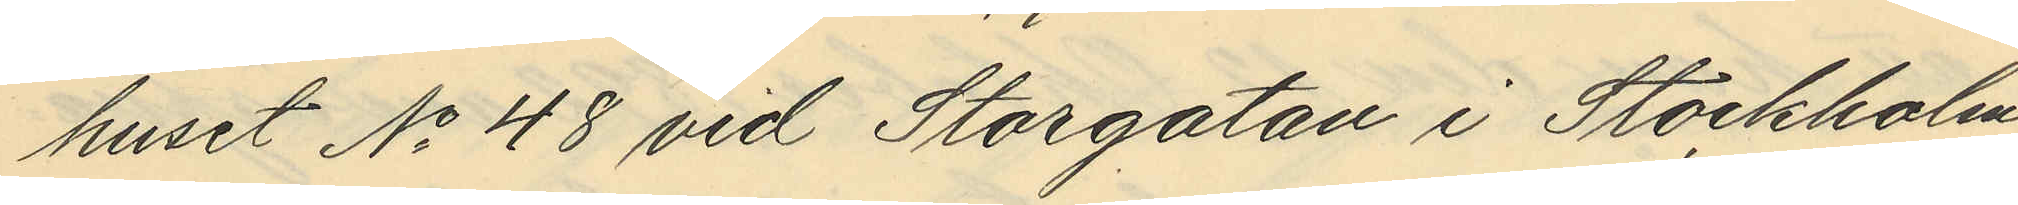huset No 48 vid Storgatan i Stockholm
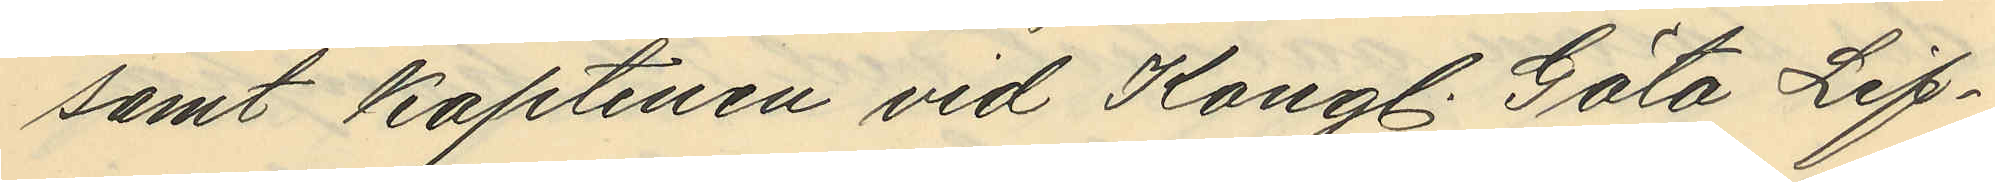samt Kaptenen vid Kongl. Göta Lif¬
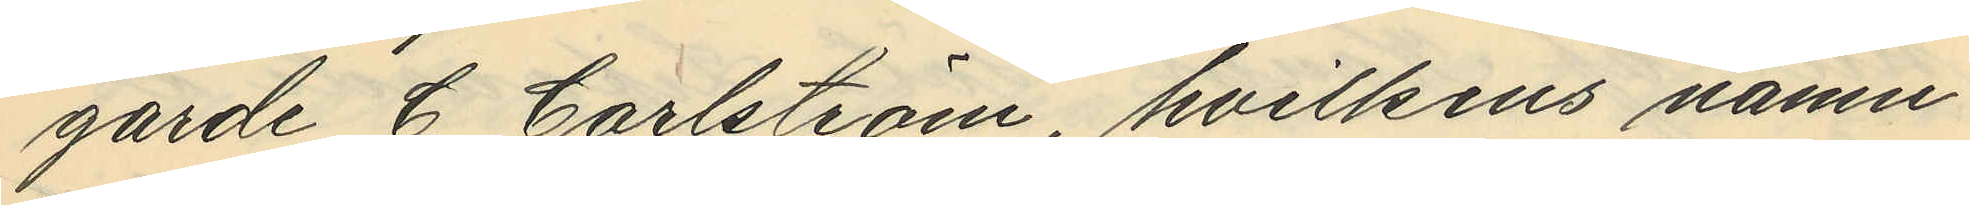garde C. Carlström, hvilkens namn
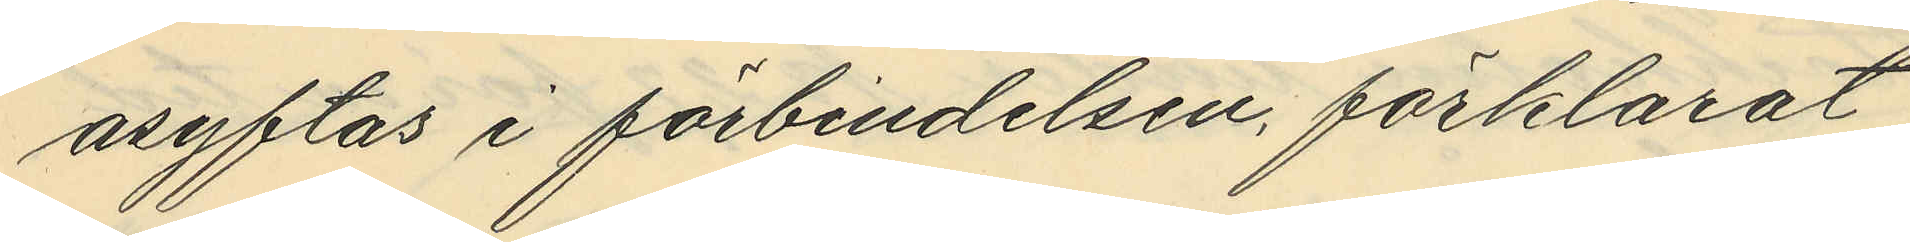åsyftas i förbindelsen, förklarat
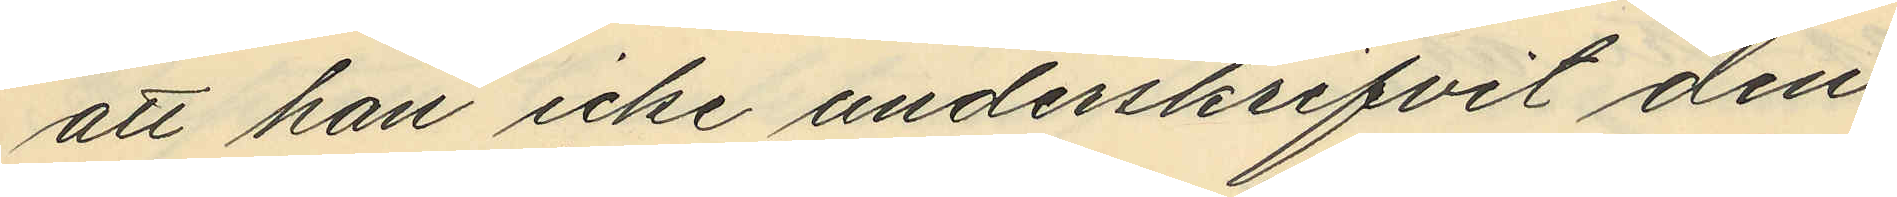att han icke underskrifvit den
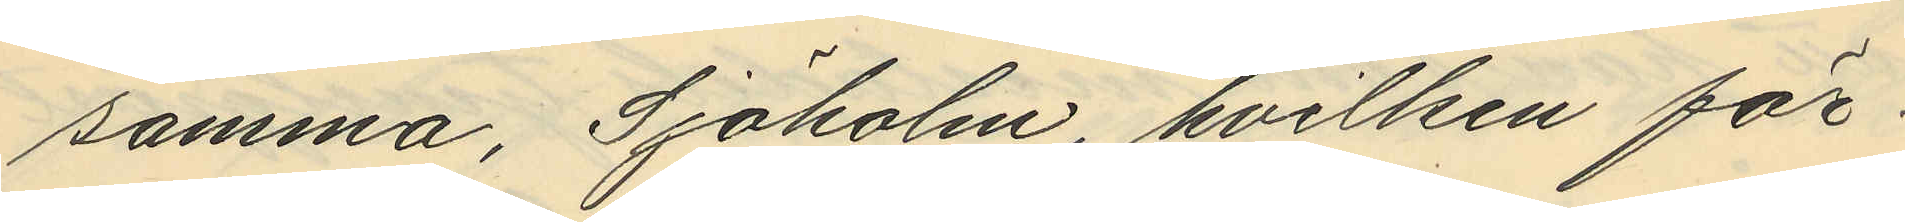samma, Sjöholm, hvilken för¬
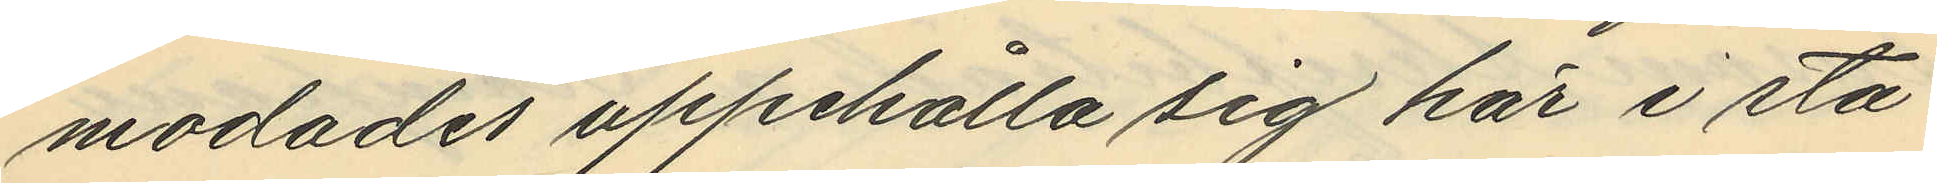modades uppehålla sig här i sta¬
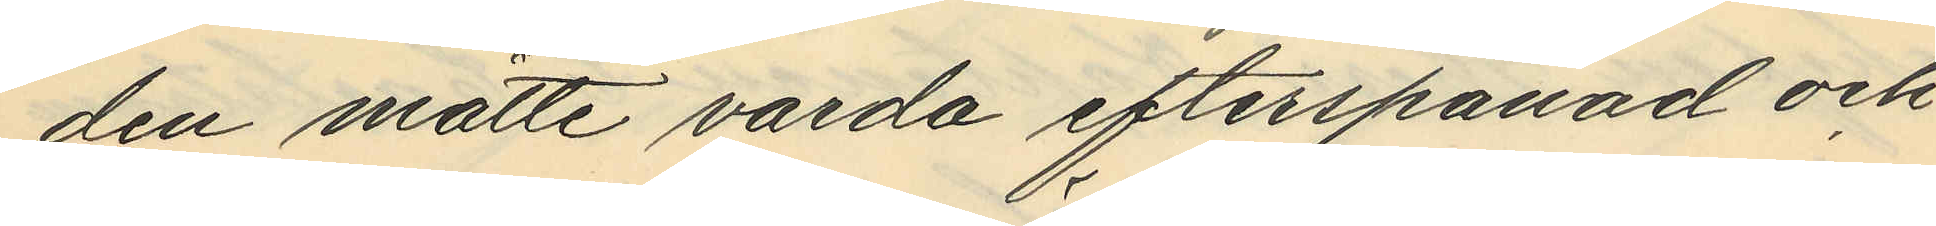den måtte varda efterspanad och
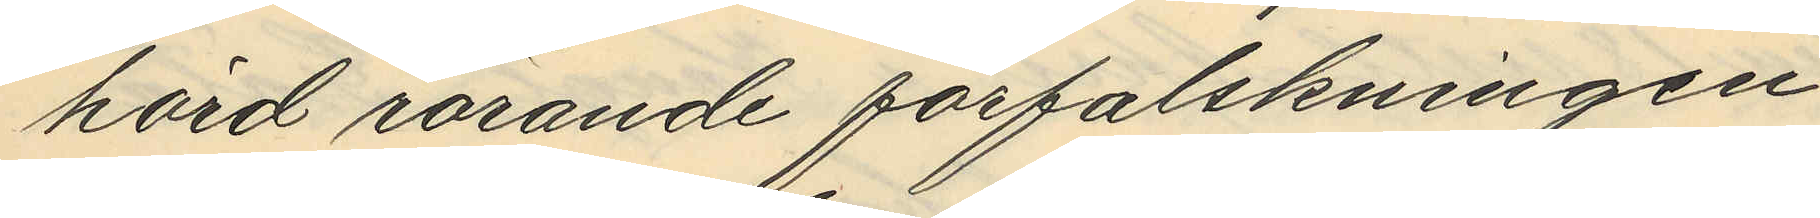hörd rörande förfalskningen
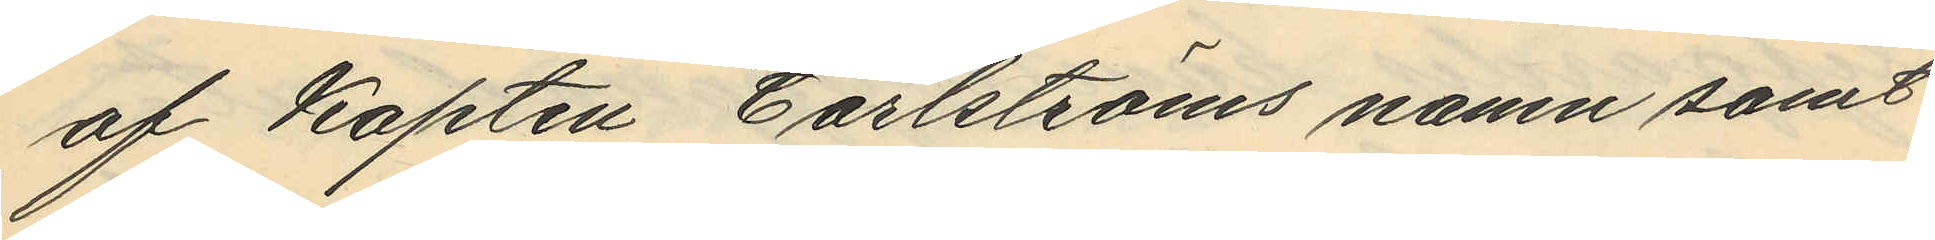af Kapten Carlströms namn samt
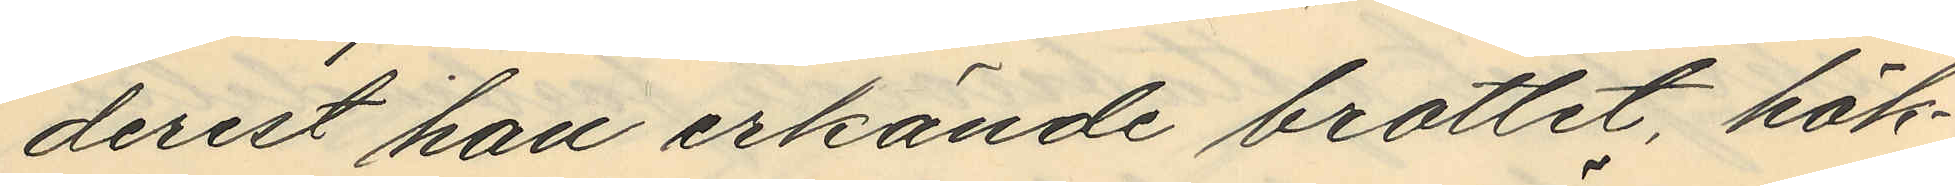derest han erkände brottet, häk¬
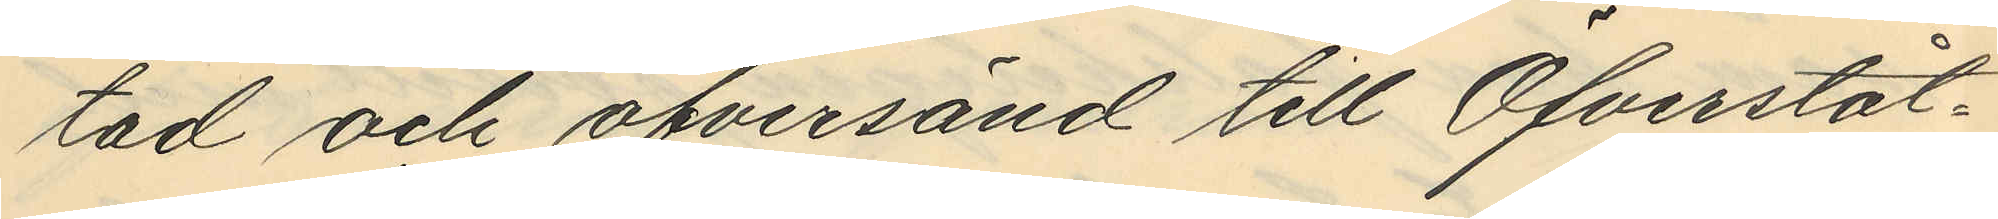tad och öfversänd till Öfverståt¬
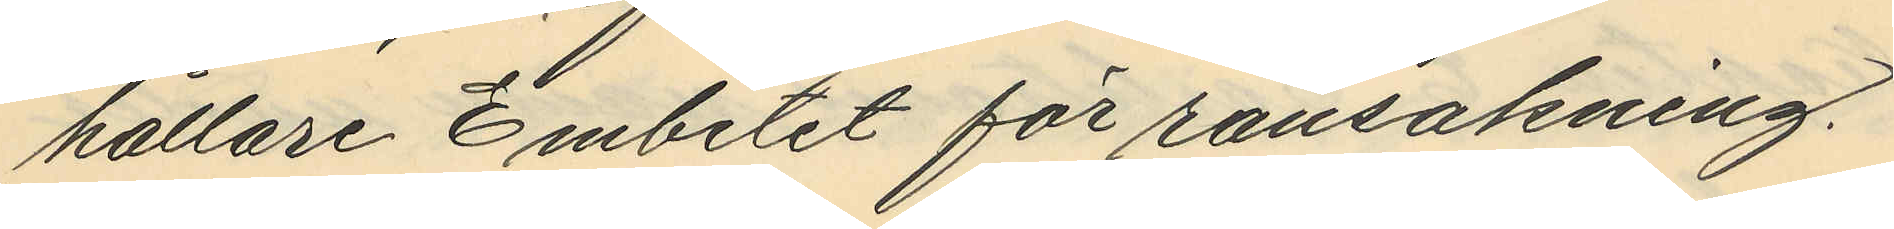hållare Embetet för ransakning.
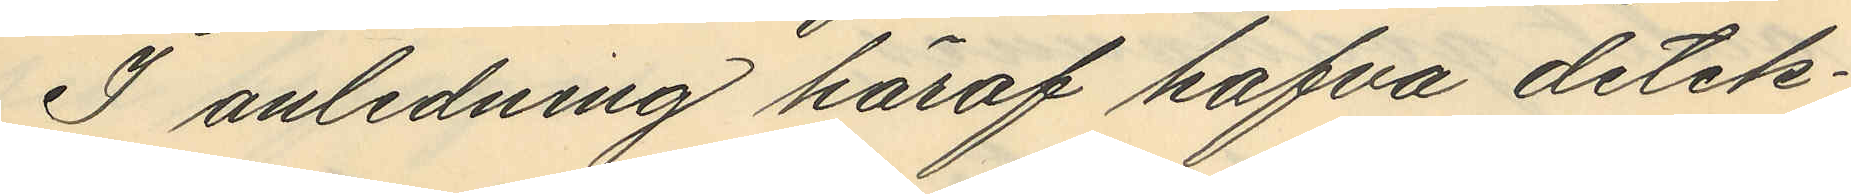I anledning häraf hafva detek¬
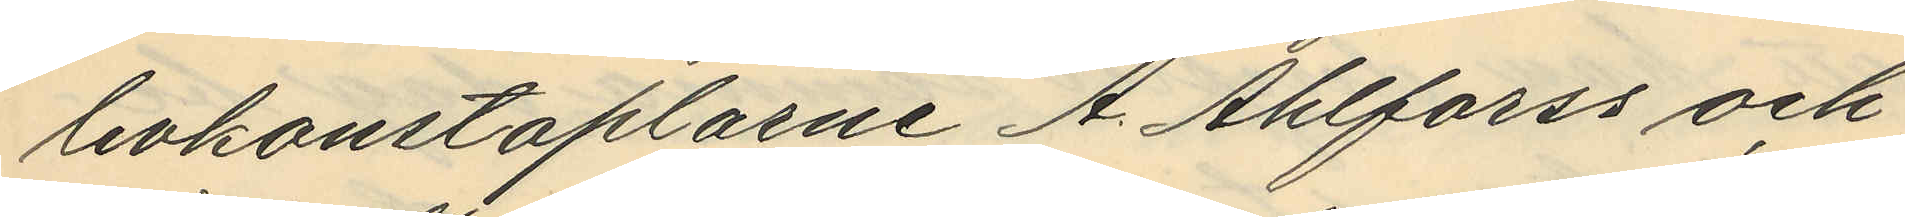tivkonstaplarne A. Ahlforss och
